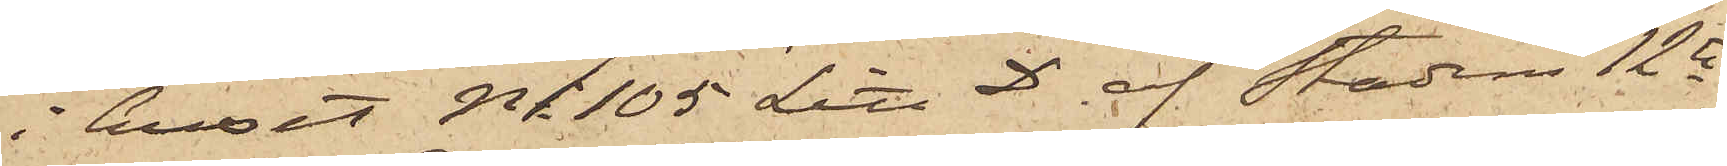i huset No 105 Litt D af Stadens 12te
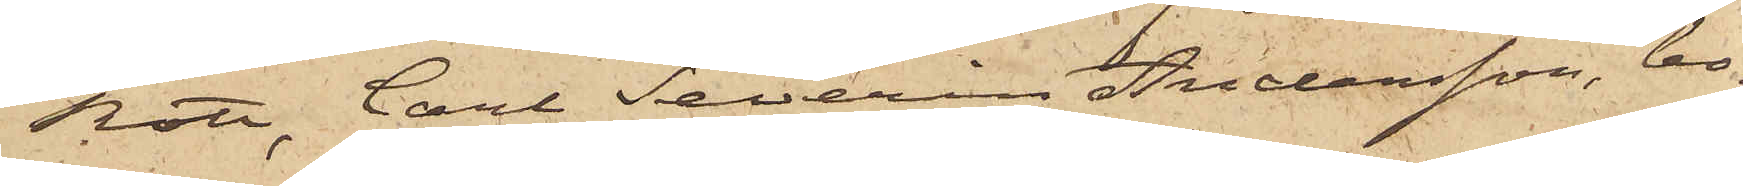Rote, Carl Severin Andersson, bo¬
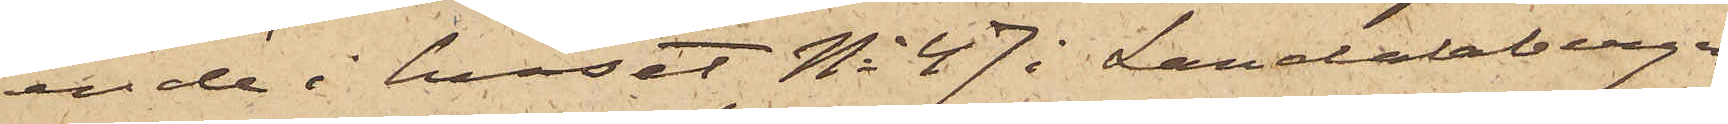ende i huset No 47 i Landalabergen,
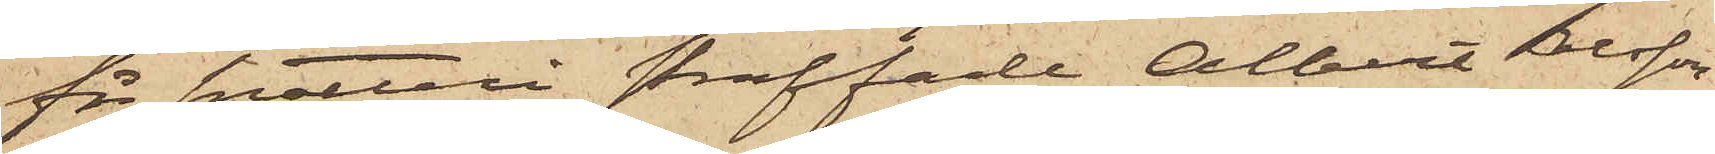för snatteri straffade Albert Olsson,
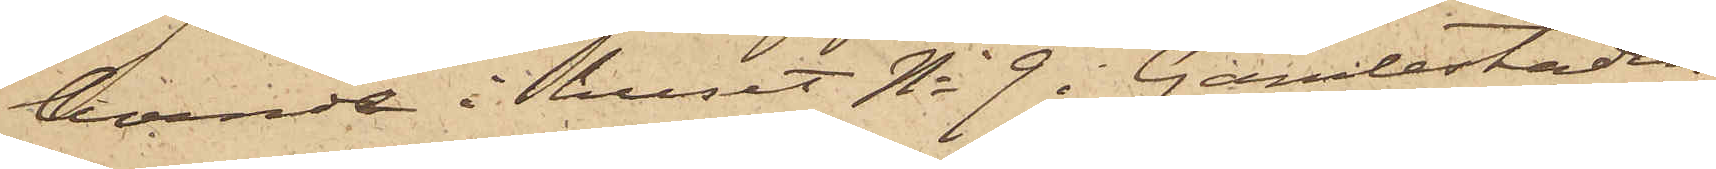boende i huset No 9 i Gamlestaden,
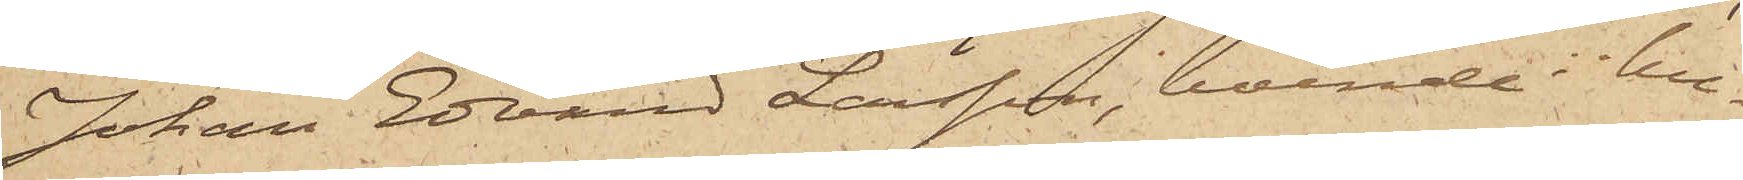Johan Edvard Larsson, boende i hu¬
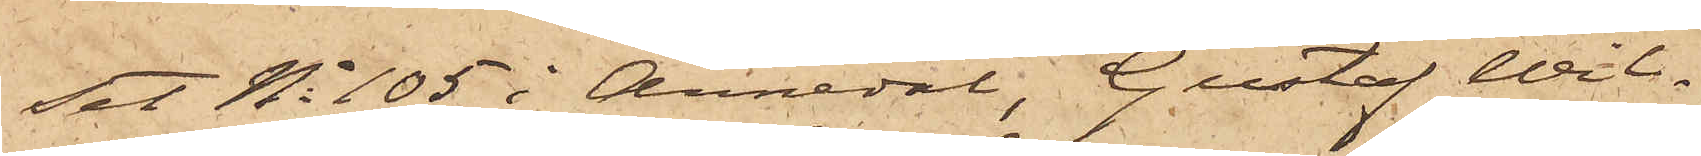set No 105 i Annedal, Gustaf Wil¬
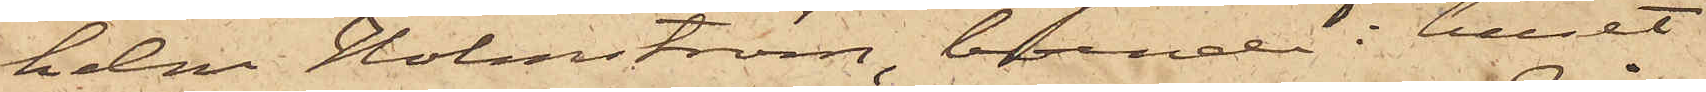helm Holmström, boende i huset
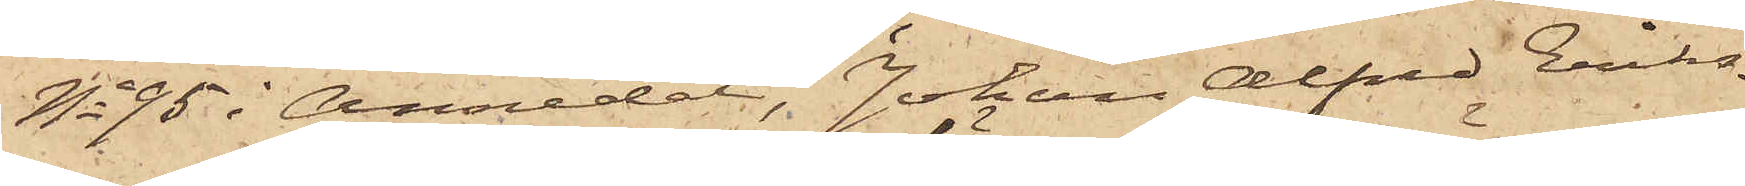No 95 i Annedel, Johan Alfred Eriks¬
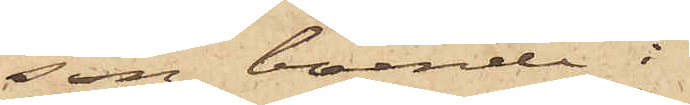son, boende i
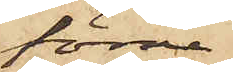förra
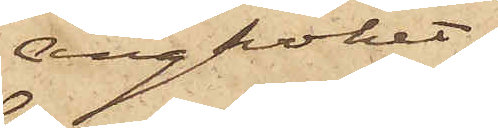ångköket,
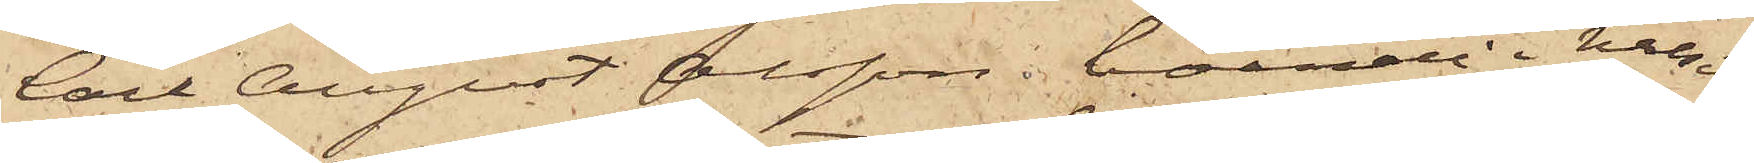Carl August Olsson, boende i huset
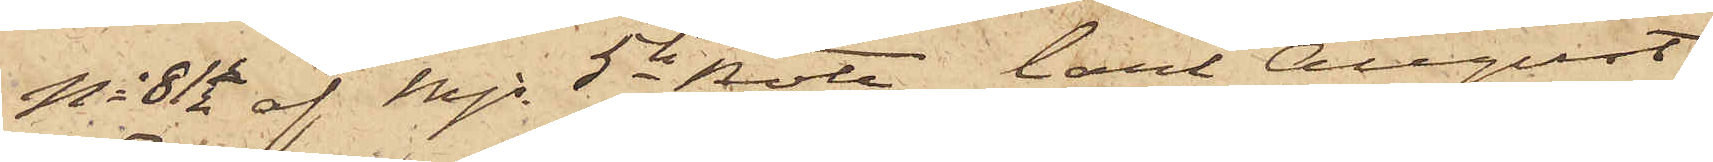No 81½ af Mjs 5te Rote, Carl August
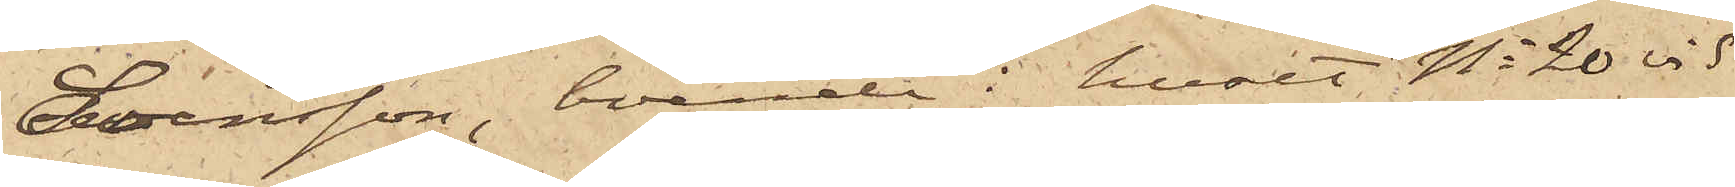Svensson, boende i huset No 20 vid
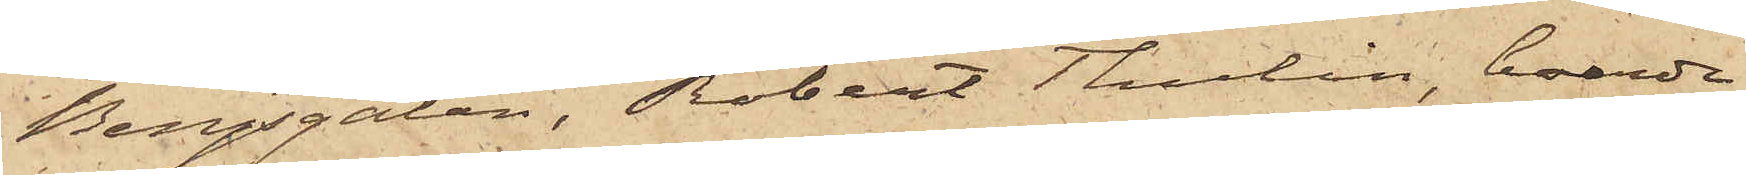Bergsgatan, Robert Tholin, boende
